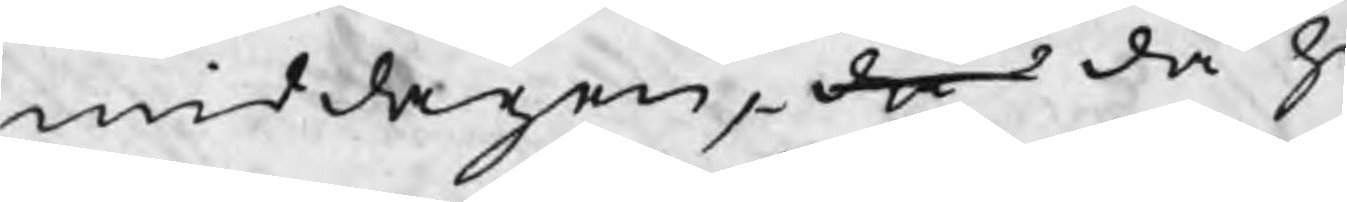middagen, då då ha
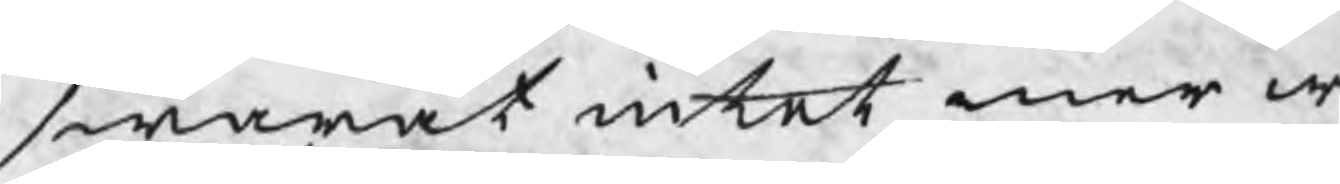swarat intet mer w
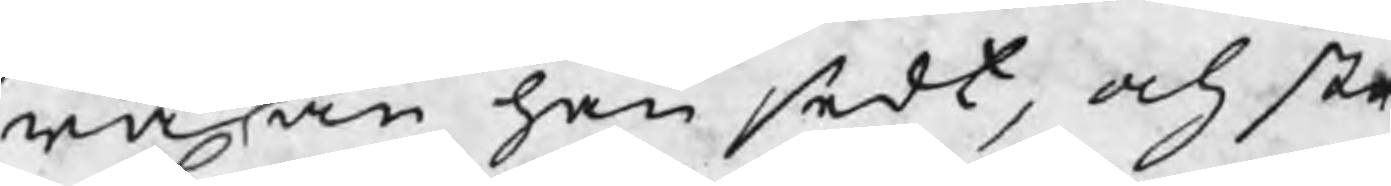ra än han sedt, och str
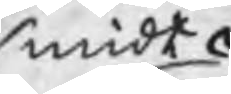smidt
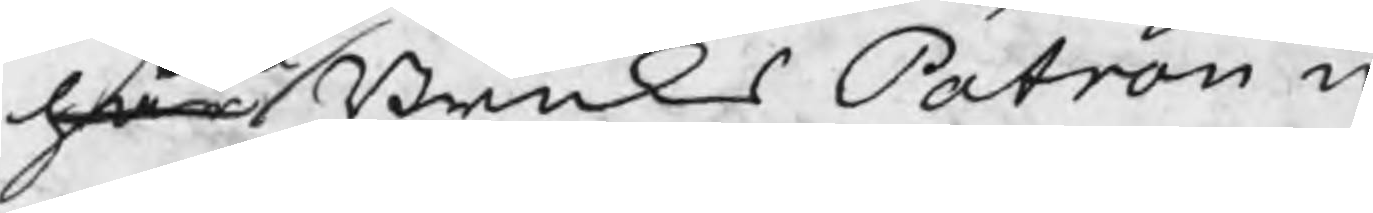har BruksPatron n
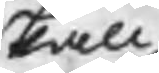skall
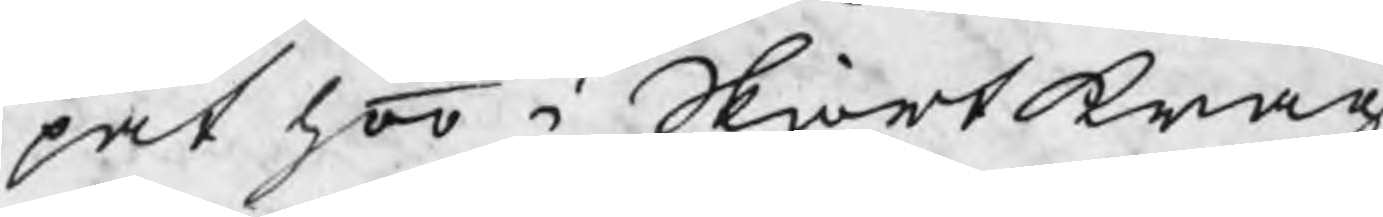pat hoo i Skiortkrag
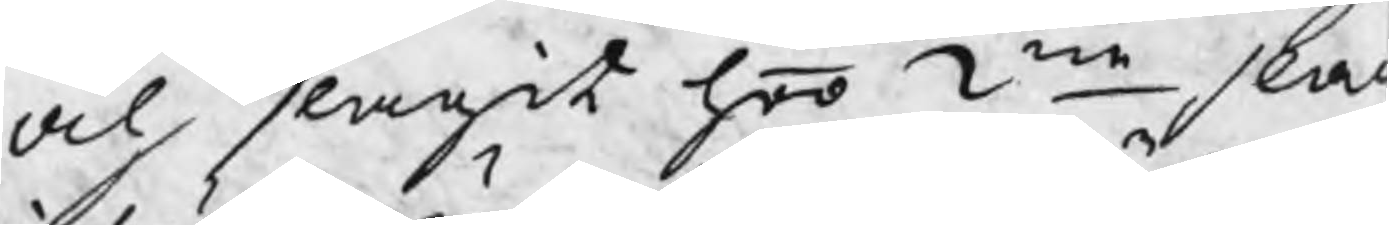och slagit honom 2ne slag
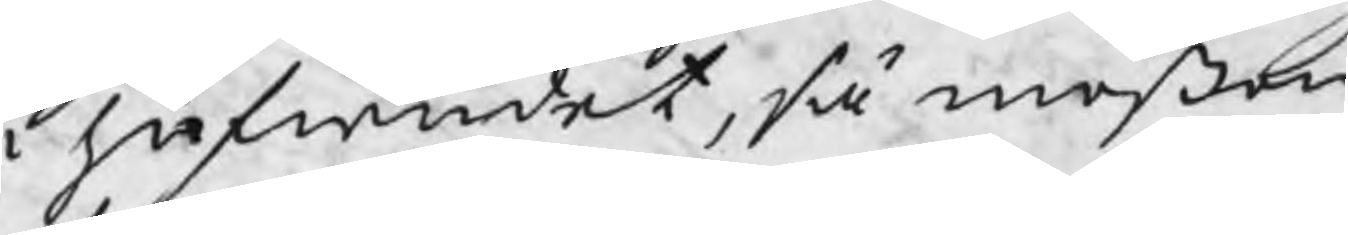i hufwudet, så mössan
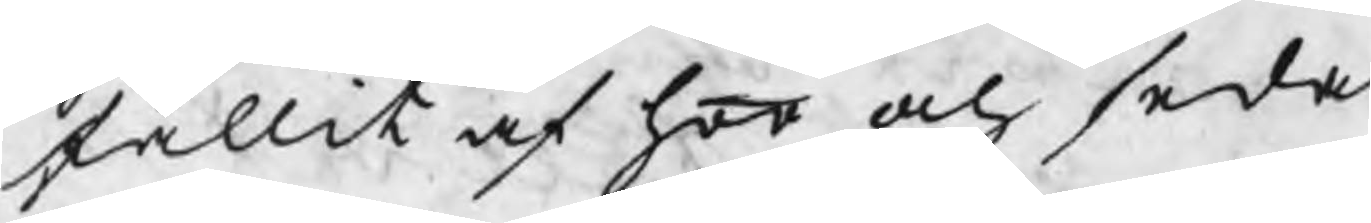fallit af honom och seda
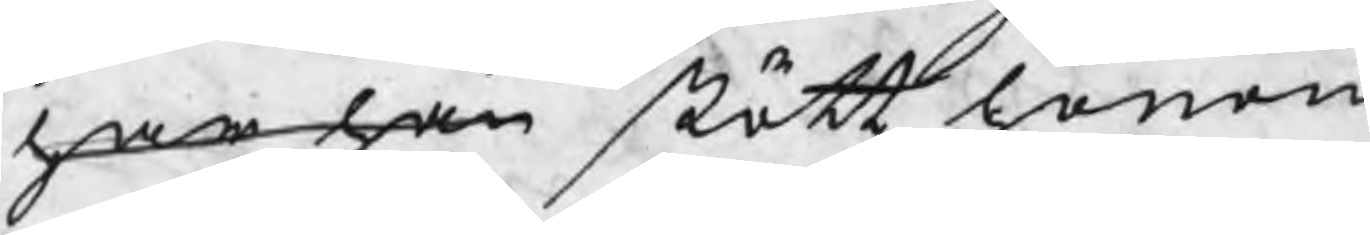har han stött honom
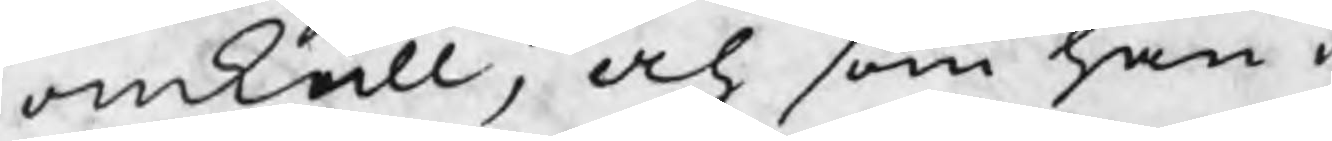omkull, och som han i
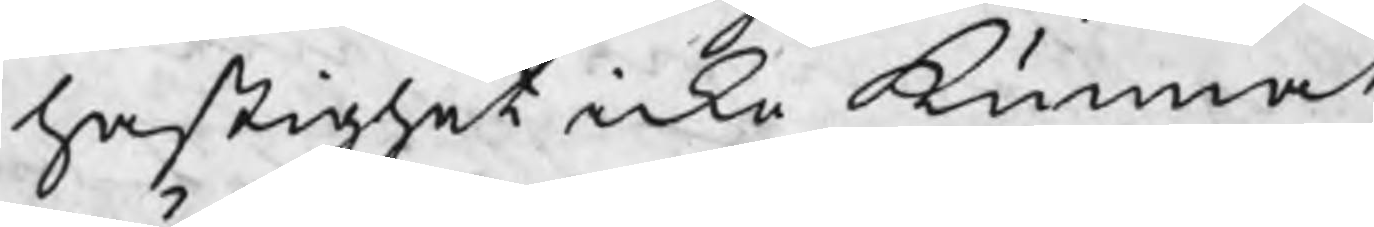hastighet icke kunnat
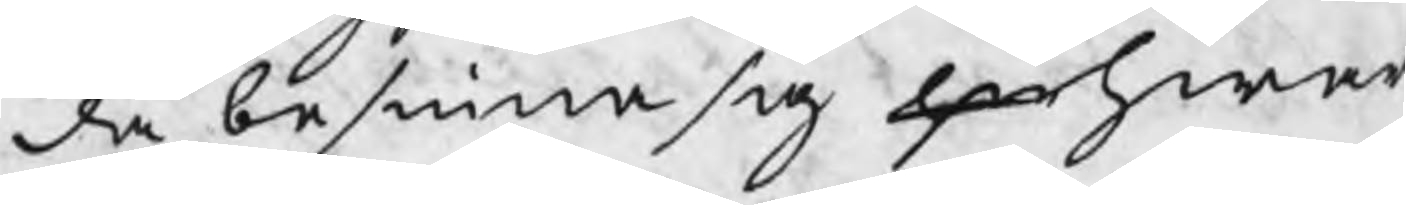då besinna sig hw hwar
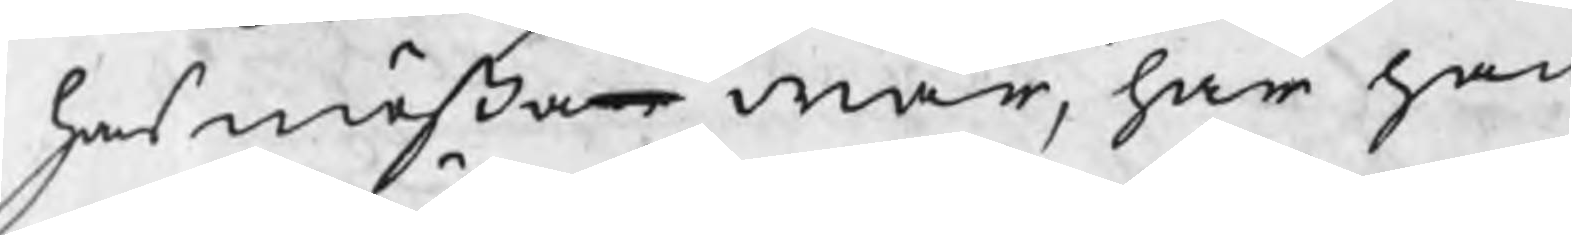hans mössan war, har han
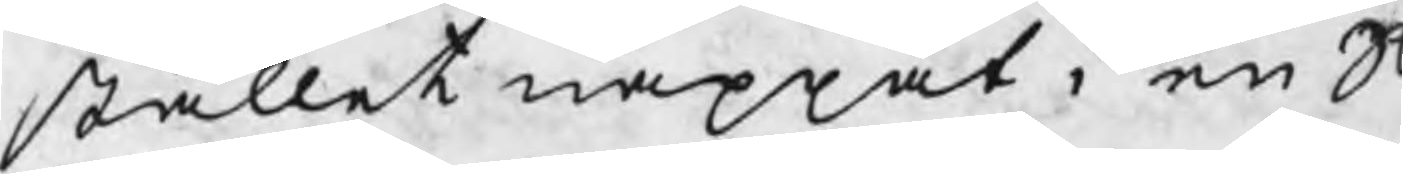stället nappat i en S
